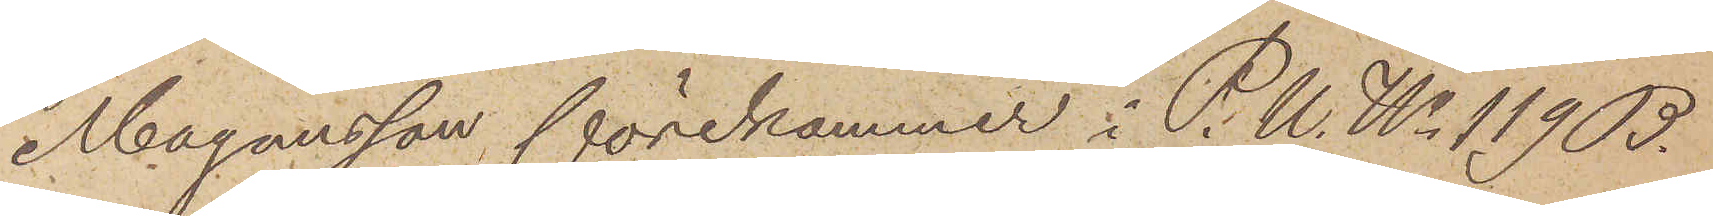Magnusson förekommer i P.U. No 119 B.
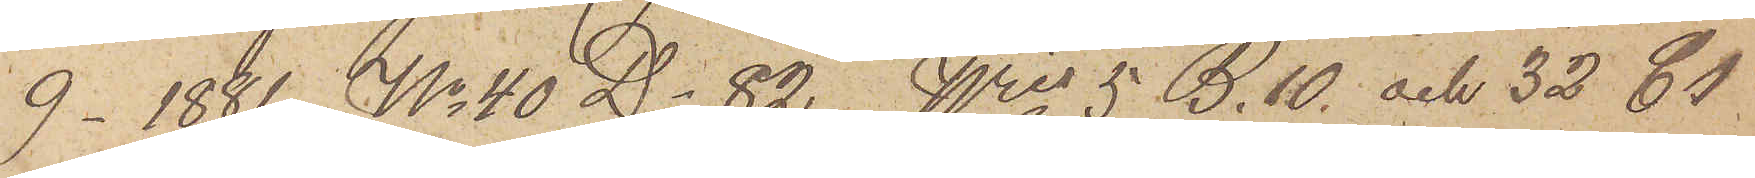9 1881,  No 40 D. 82, Nris 5 B. 10 och 32 C1
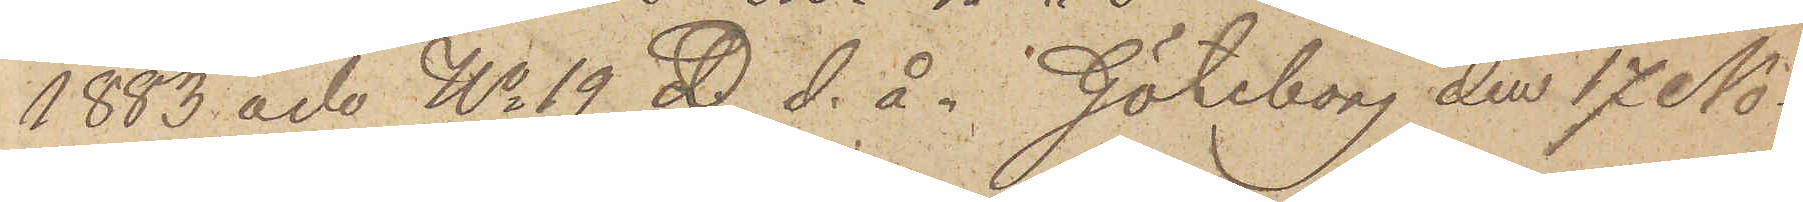1883 och No 19 D. d. å.. Göteborg den 17 No¬
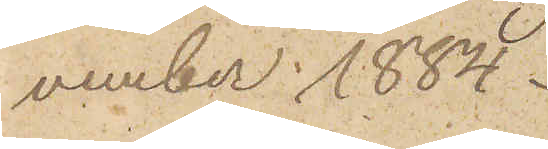vember 1884.
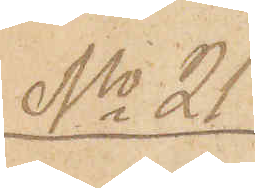No 21
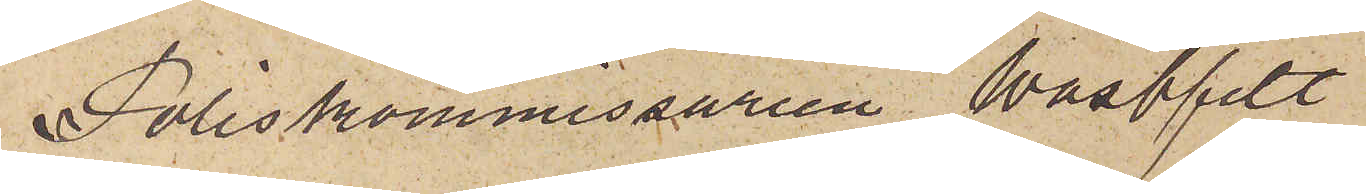Poliskommissarien Wästfelt
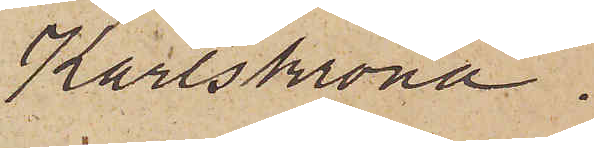Karlskrona.
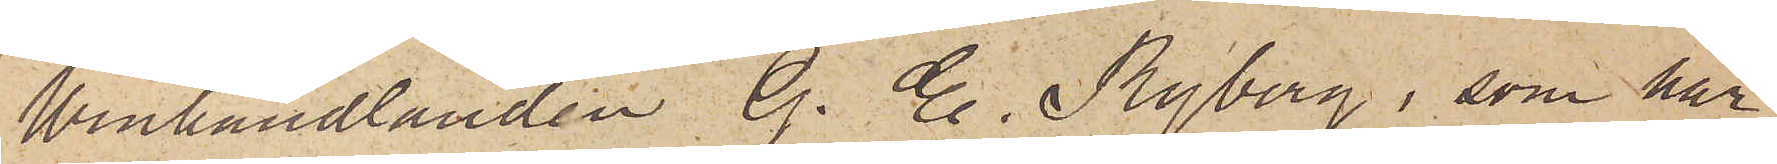Winhandlanden G. E. Ryberg, som har
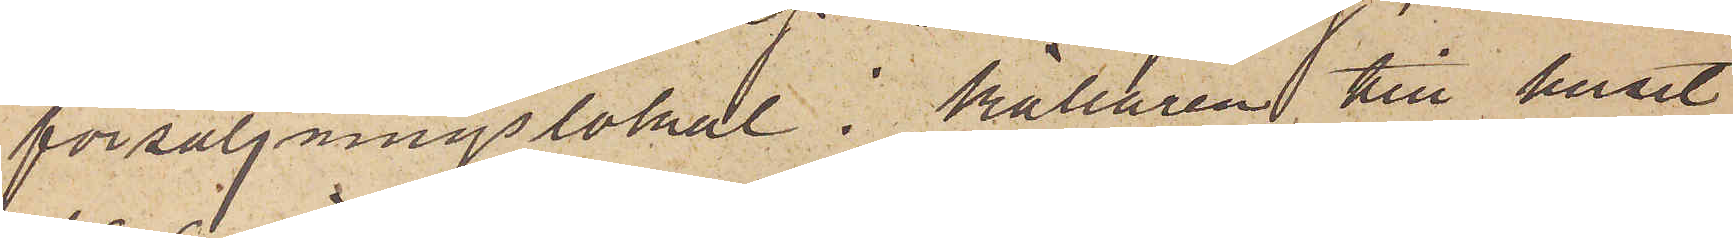försäljningslokal i källaren till huset
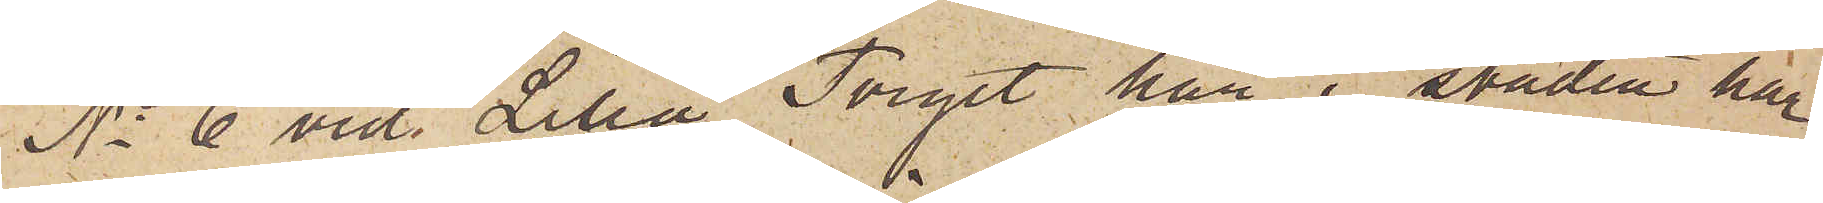No 6 vid Lilla Torget här i staden har
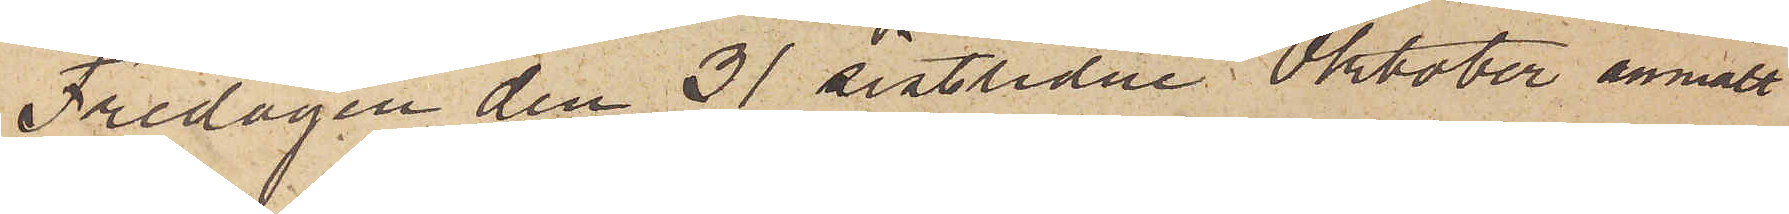Fredagen den 31 sistlidne Oktober anmält
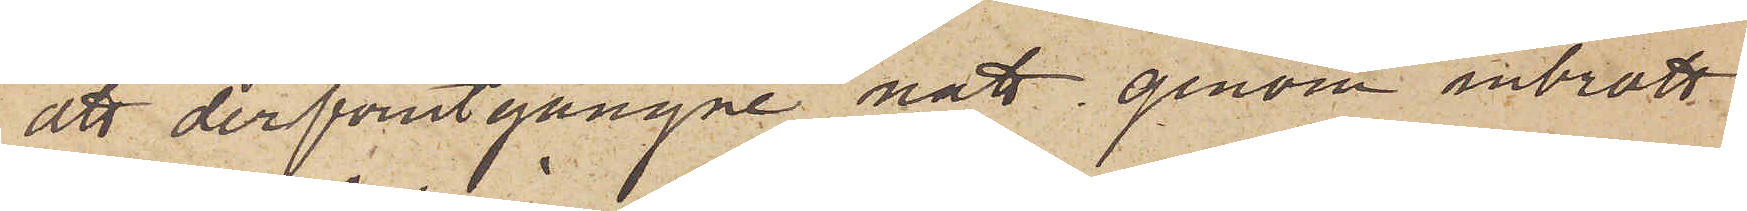att derförutgångne natt genom inbrott
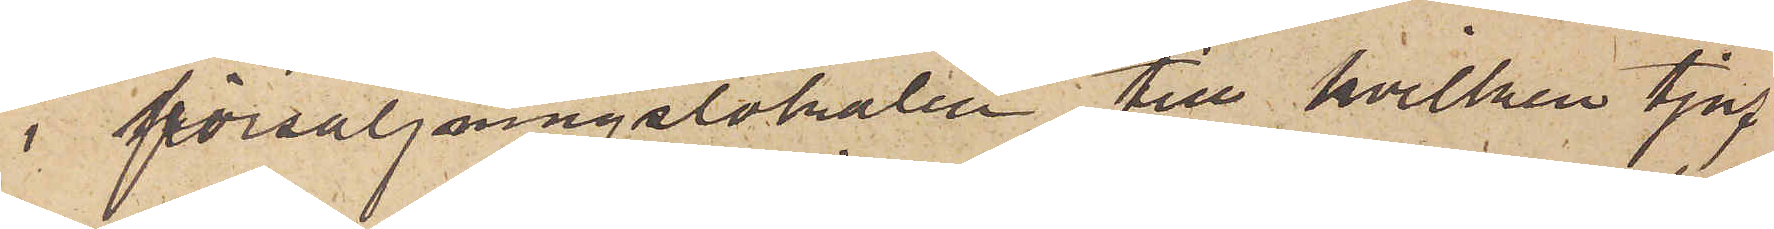i försäljningslokalen till hvilken tjuf¬
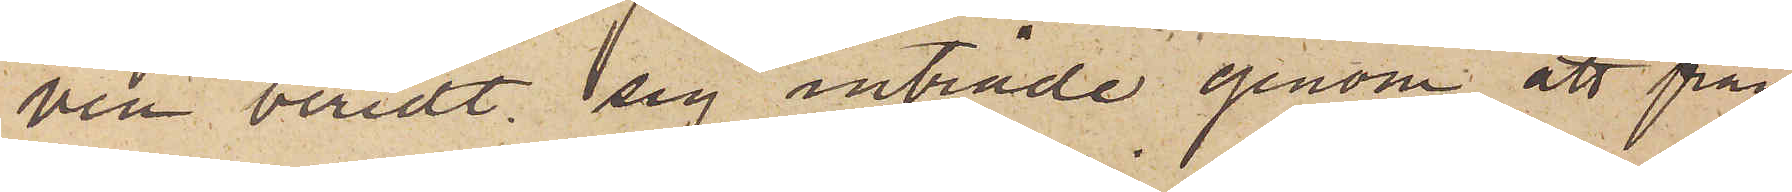ven beredt sig inträde genom att från¬
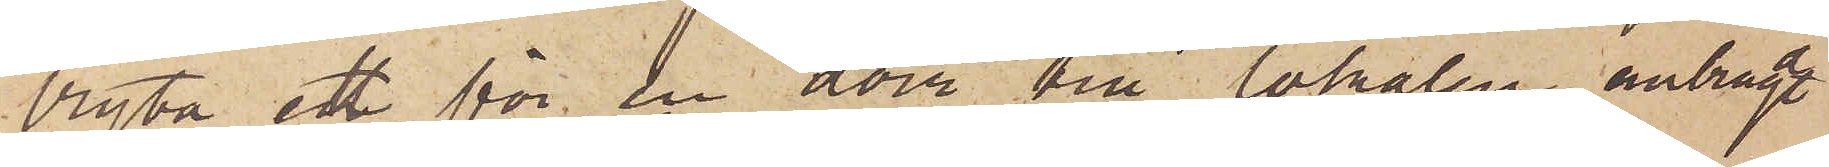bryta ett för en dörr till lokalen anbragt
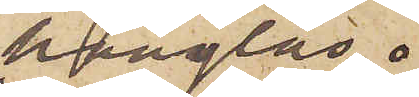hänglås
